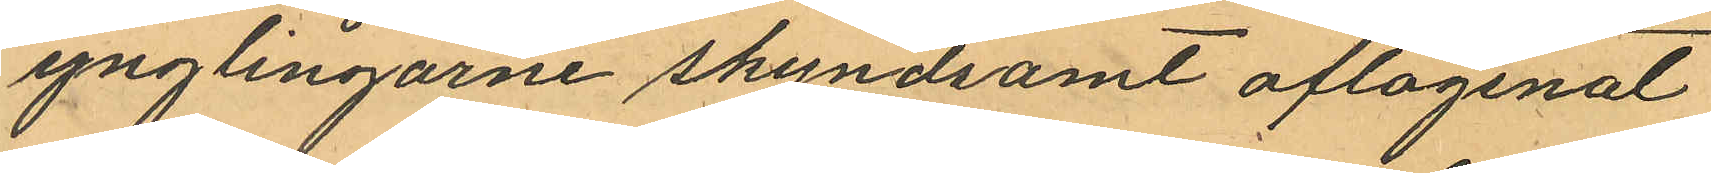ynglingarne skyndsamt aflägsnat
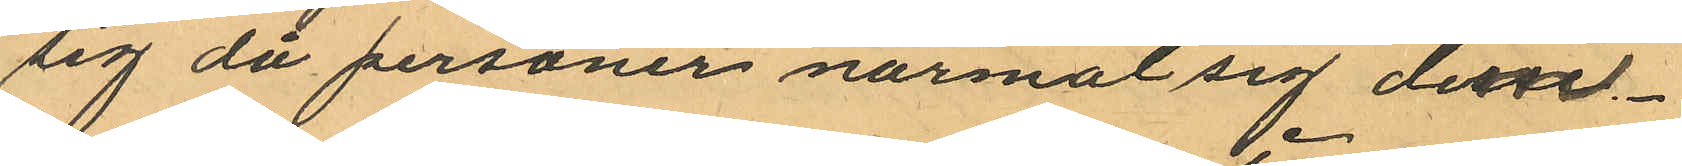sig då personer närmat sig desse.
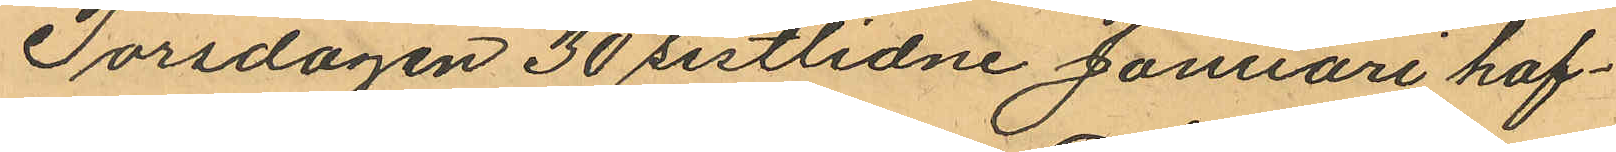Torsdagen 30 sistlidne Januari haf¬
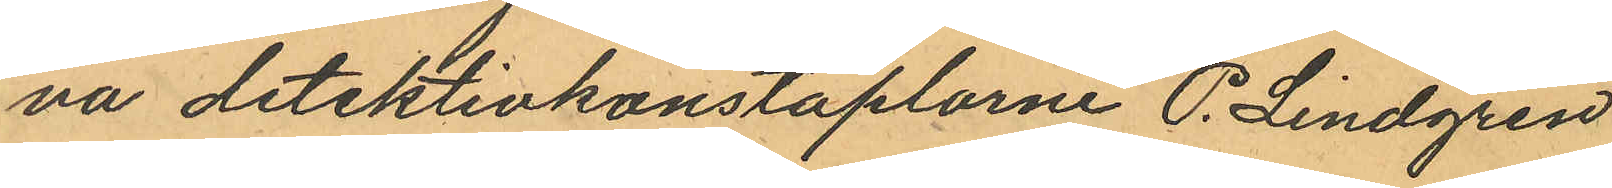na detektivkonstaplarne P. Lindgren
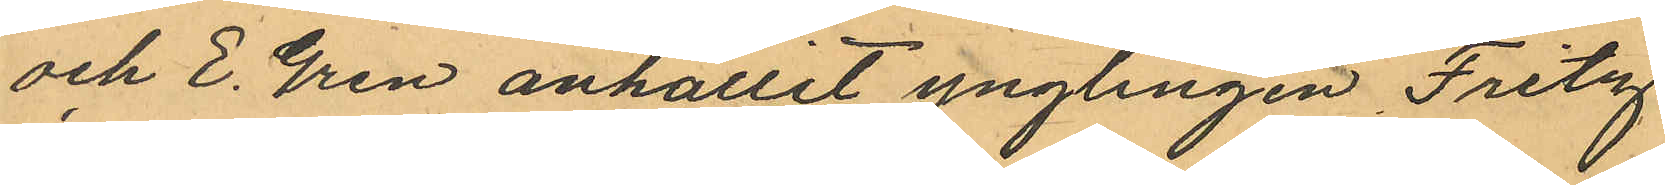och E. Gren anhållit ynglingen Fritz
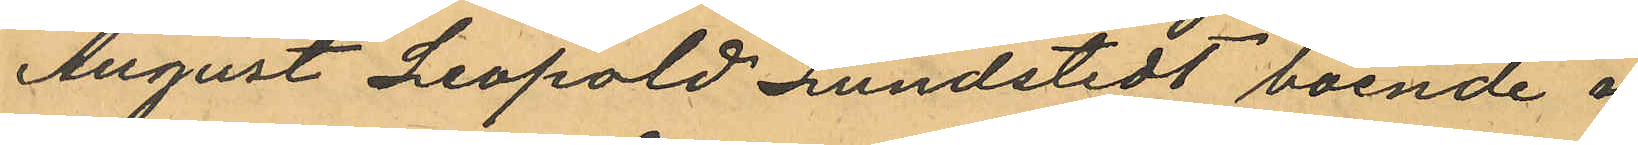August Leopold Lundstedt boende i
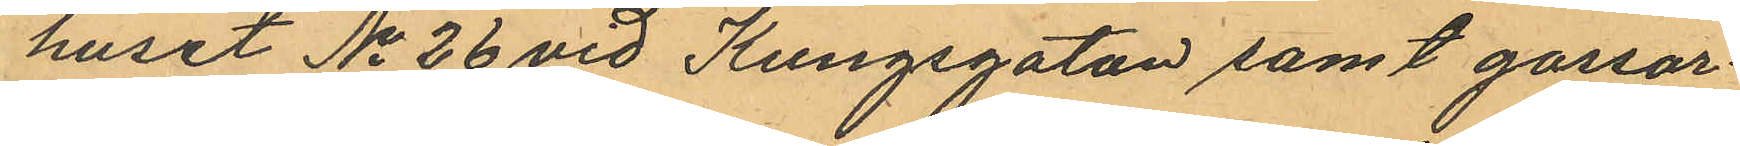huset No 26 vid Kungsgatan samt gossar¬
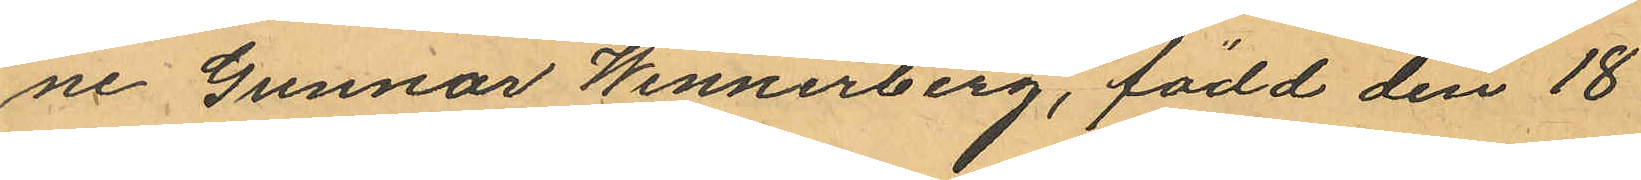ne Gunnar Wennerberg, född den 18
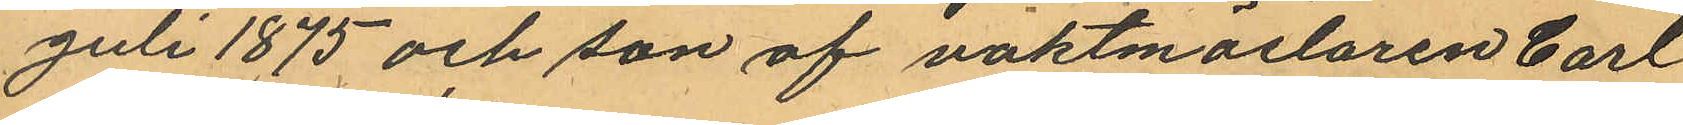Juli 1875 och son af vaktmästaren Carl
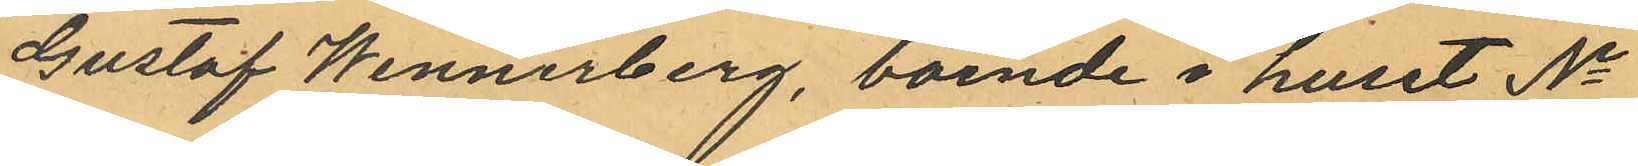Gustaf Wennerberg, boende i huset No
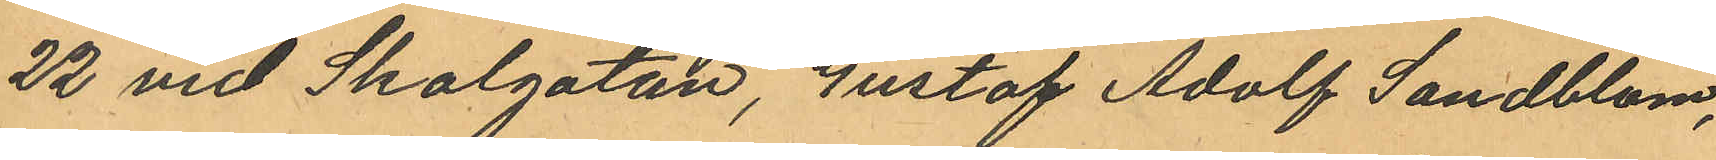22 vid Skolgatan, Gustaf Adolf Sandblom,
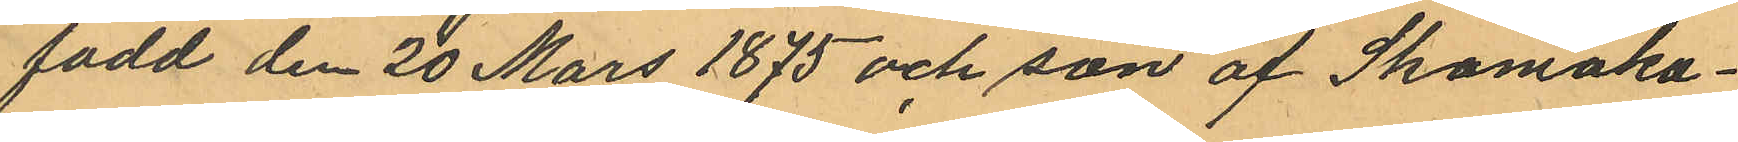född den 20 Mars 1875 och son af Skomaka¬
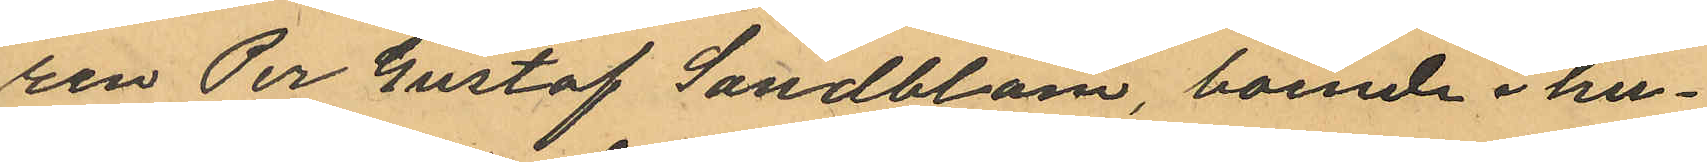ren Per Gustaf Sandblom, boende i hu¬
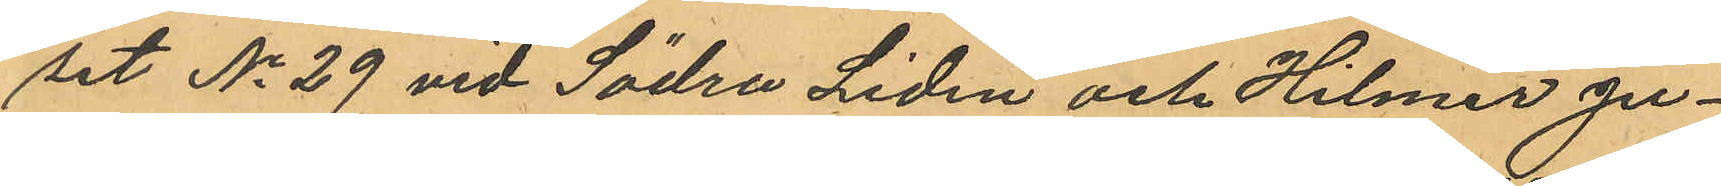set No 29 vid Södra Liden och Hilmer Ju¬
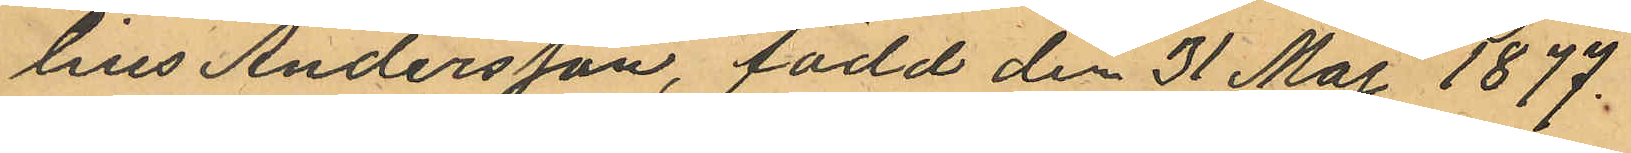lius Andersson, född den 31 Maj 1877
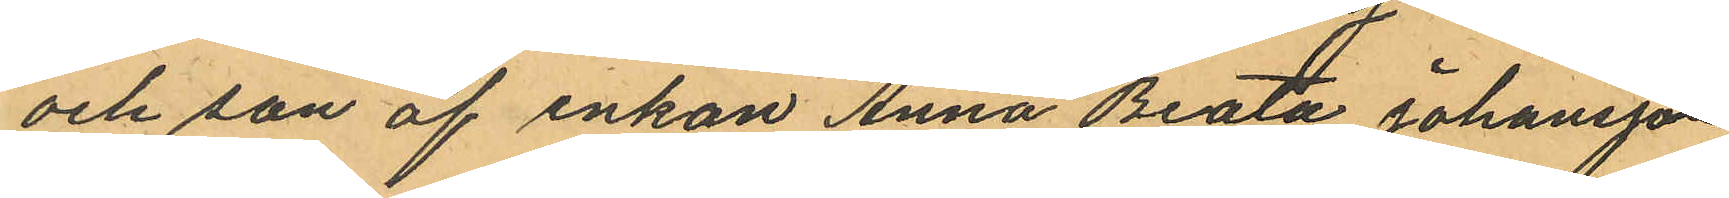och son af enkan Anna Beata Johansson
